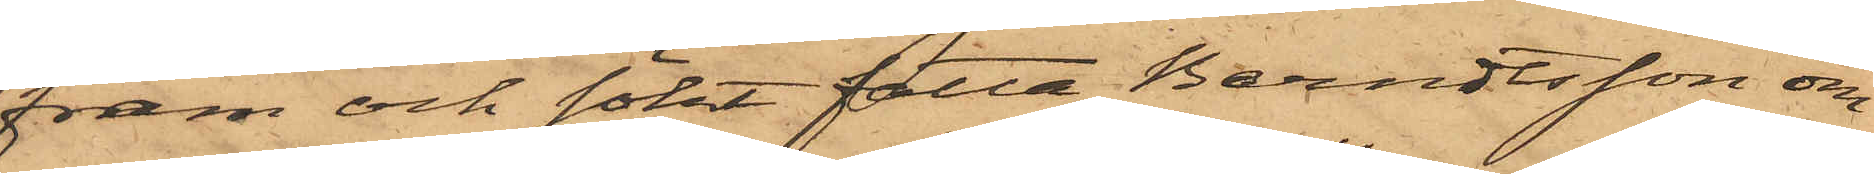fram och sökt fatta Berndtsson om
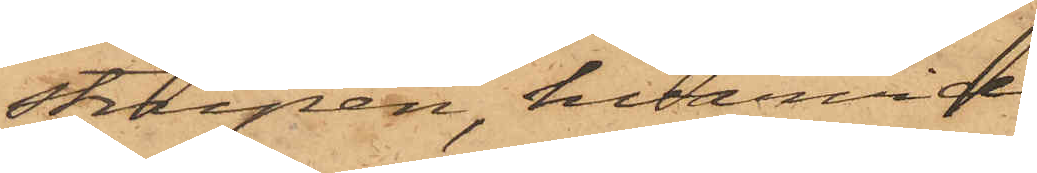strupen, hvarvid
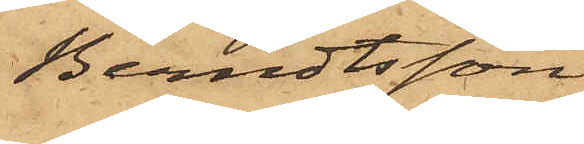Berndtsson
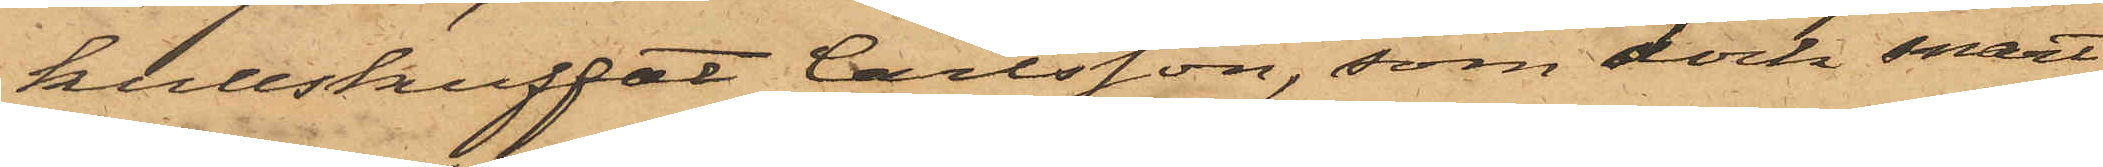kullstuffat Carlsson, som dock snart
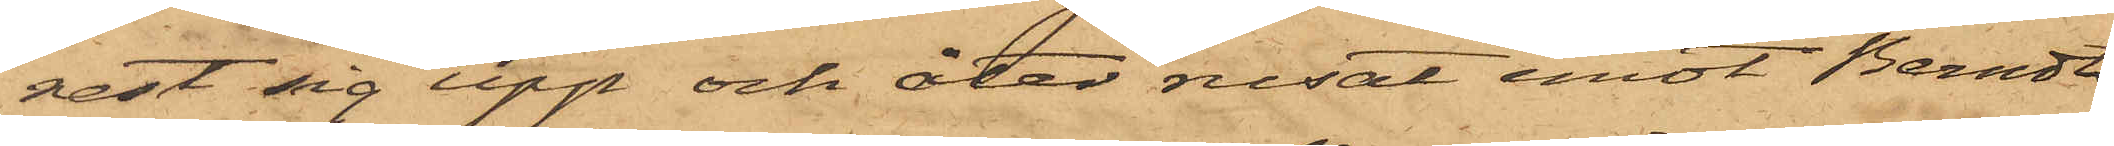rest sig upp och åter rusat emot Berndts¬
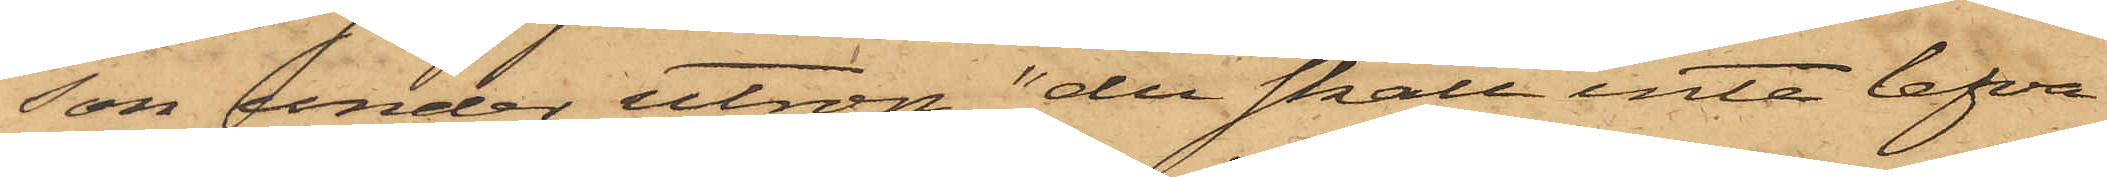son under utrop "du skall inte lefva
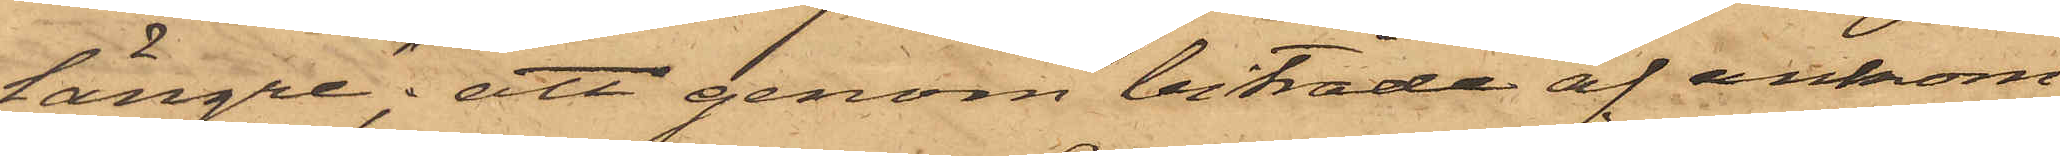längre"; att genom biträde af ankom¬
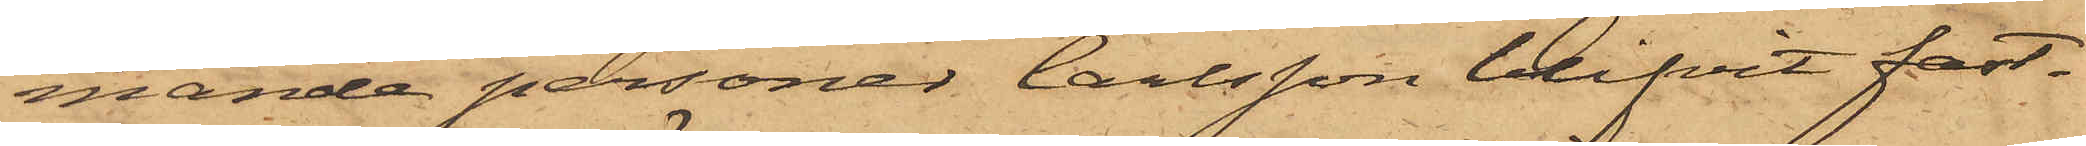mande personer Carlsson blifvit fast¬
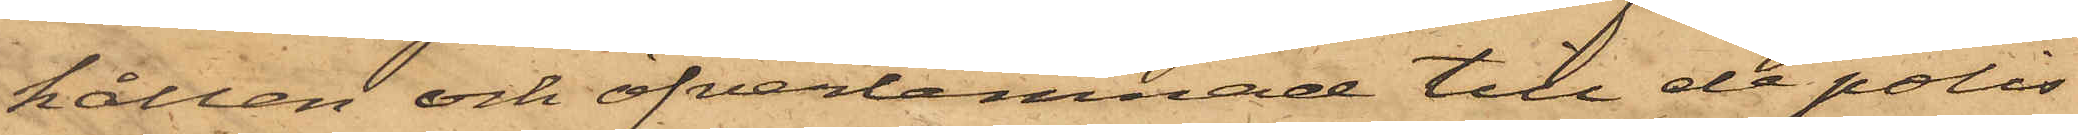hållen och öfverlemnad till de polis¬
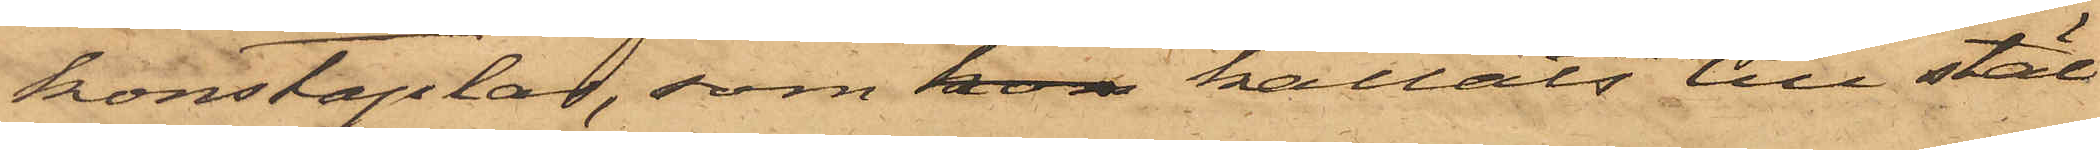konstaplar, som kom kallats till stäl¬
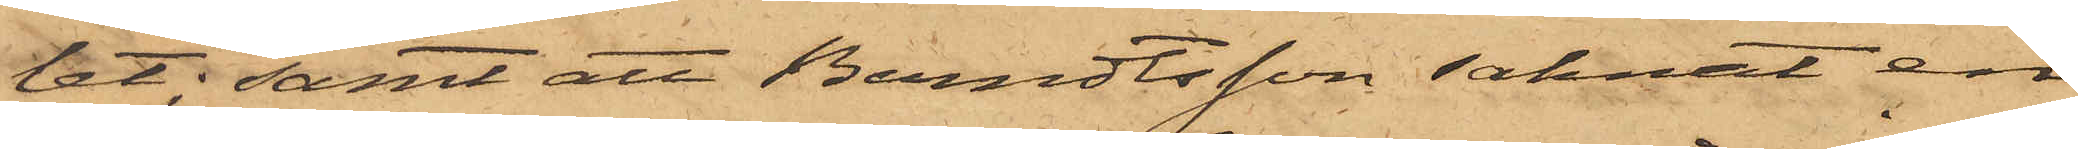let; samt att Berndtsson saknat en
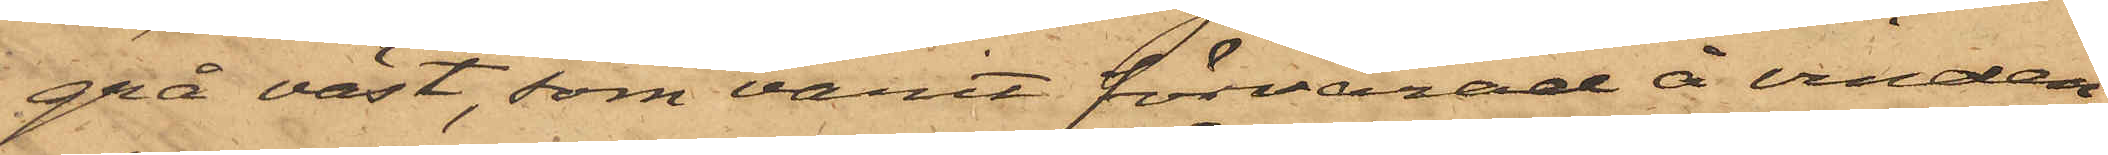grå väst, som varit förvarad å vinden;
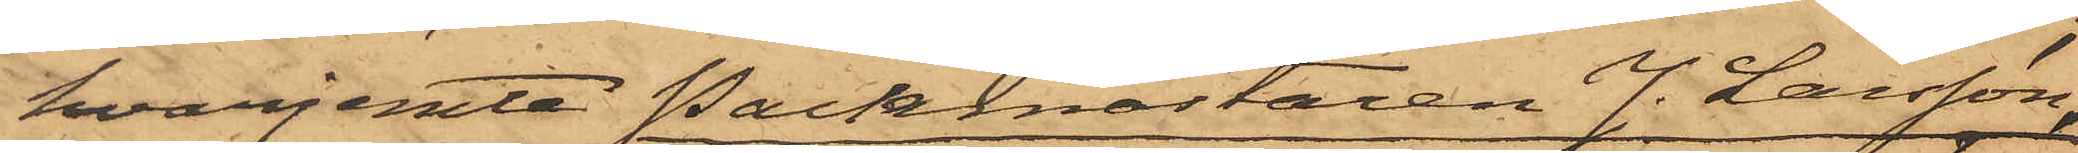hvarjemte Packmästaren J. Larsson,
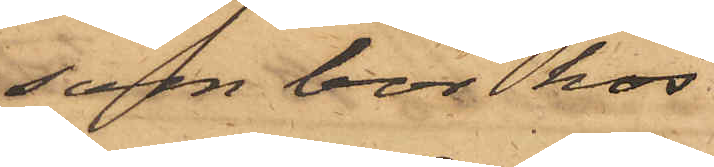som bor hos
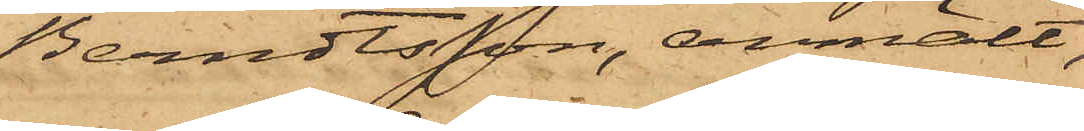Berndtsson, anmält,
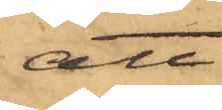att
